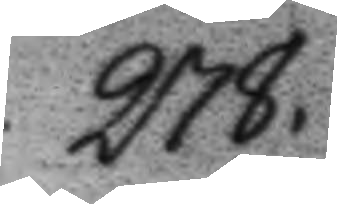278
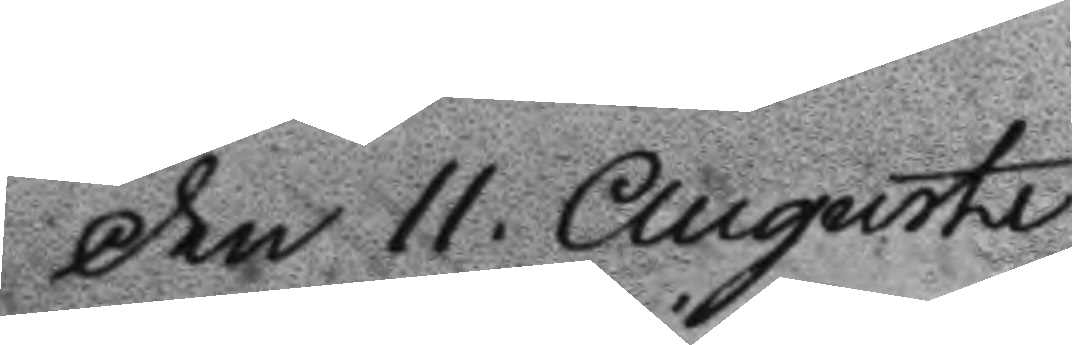Den 11 Augusti
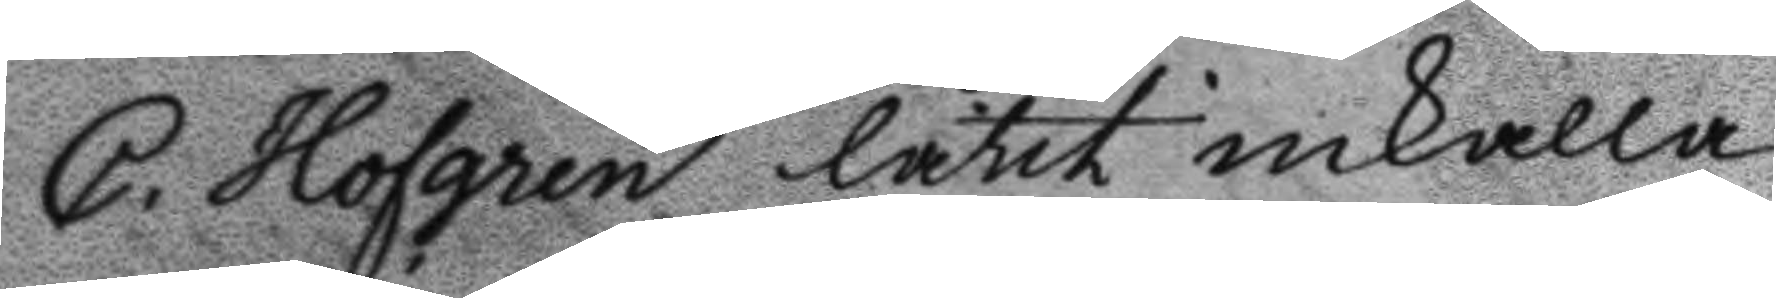C. Hofgren låtit inkalla
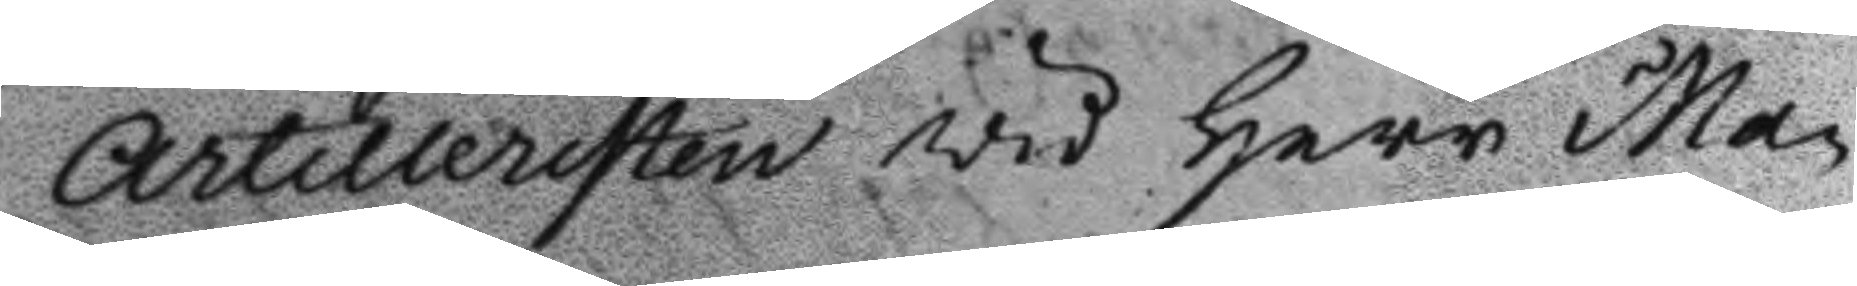Artilleristen vid Herr Ma¬
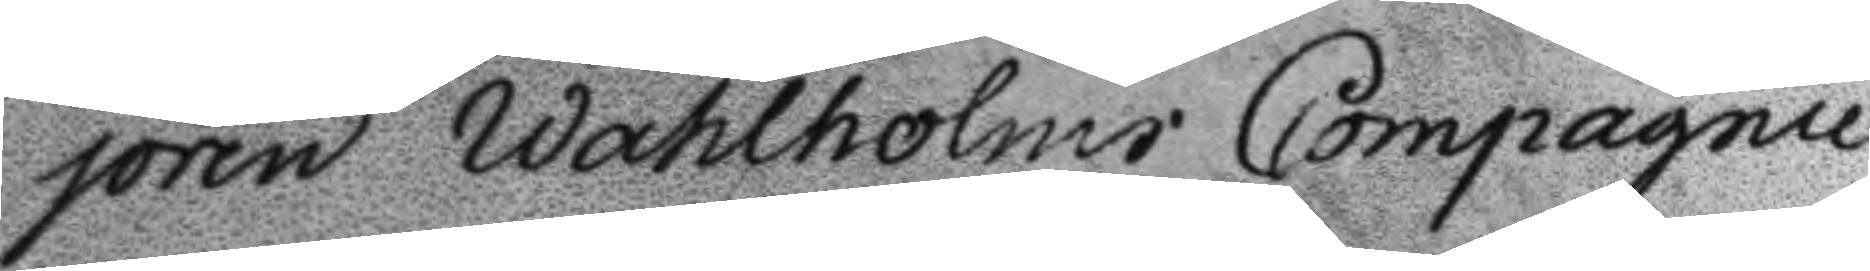joren Wahlholms Compagnie
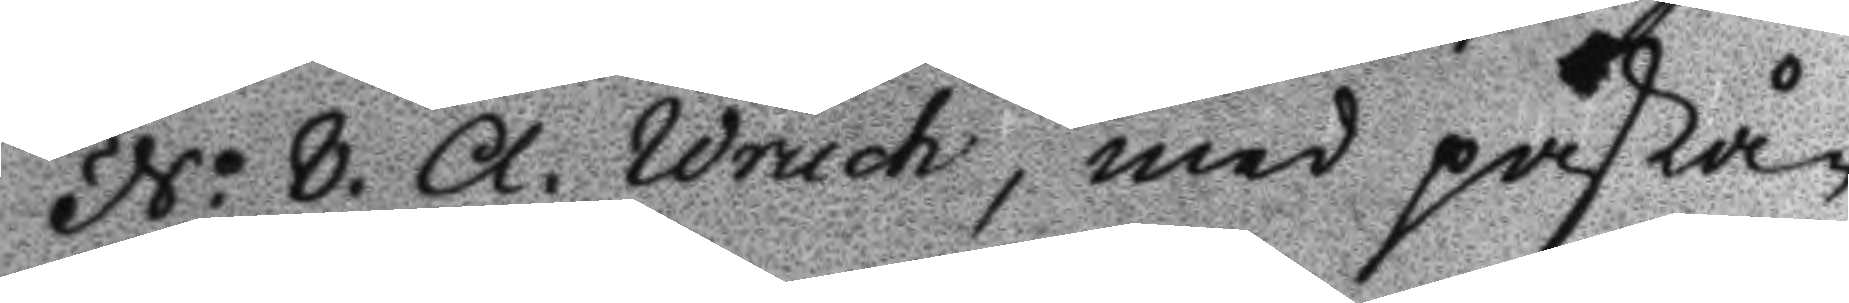No 8. A. Wruch, med påstå¬
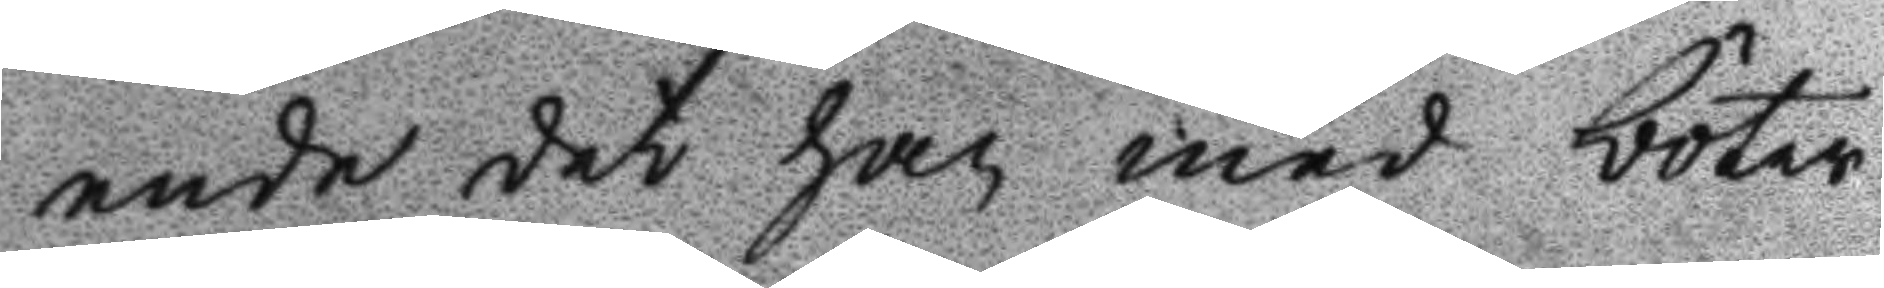ende det han med böter
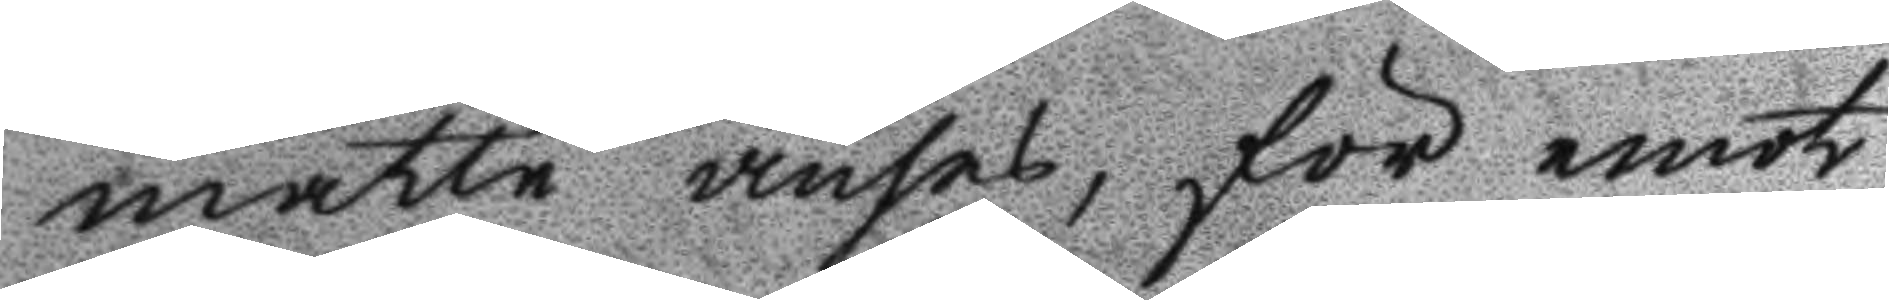måtte anses, för emot
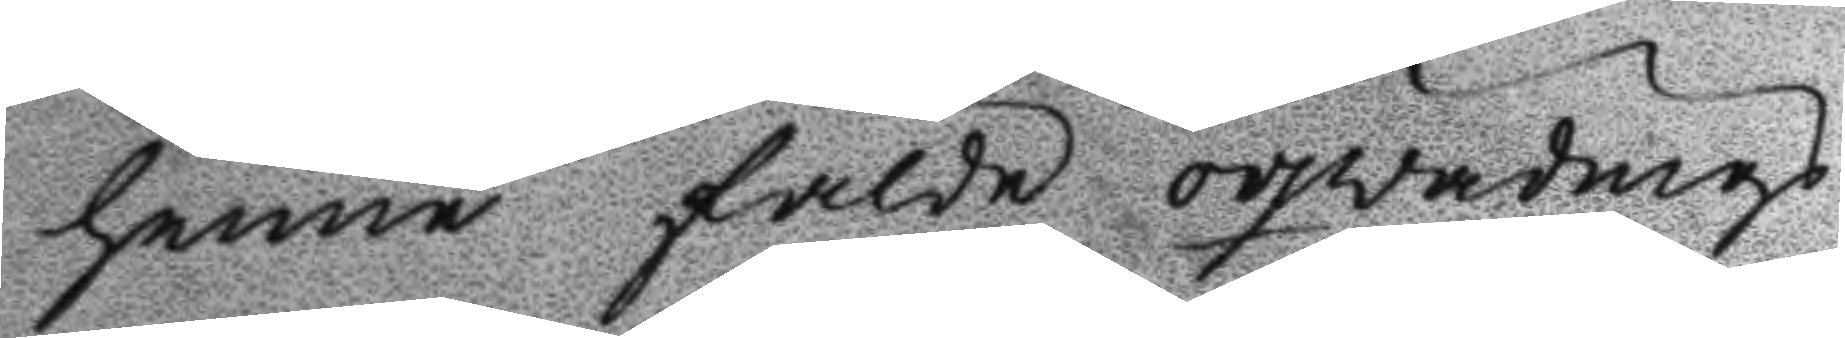henne fälte oqwädnings
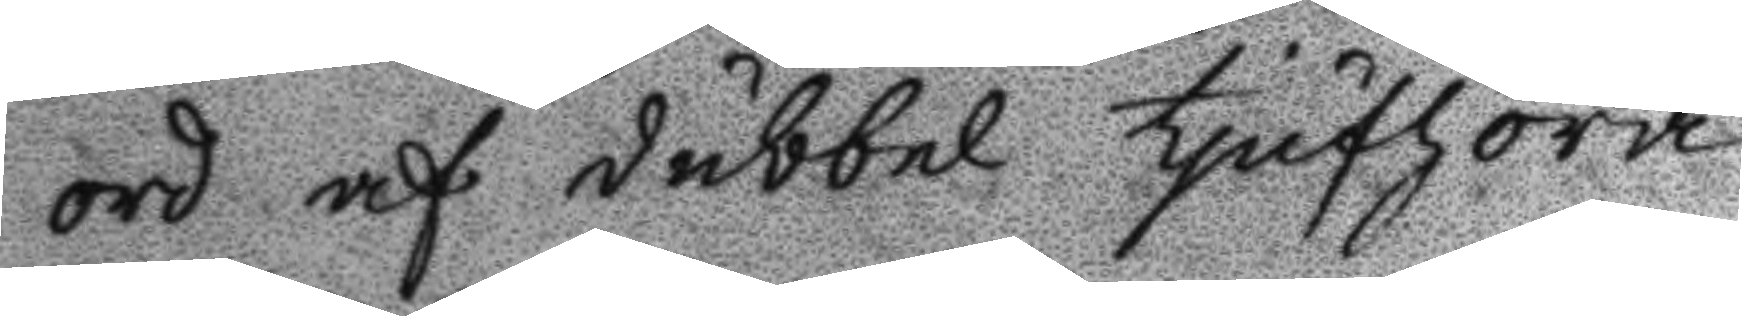ord af dubbel tjufhora,
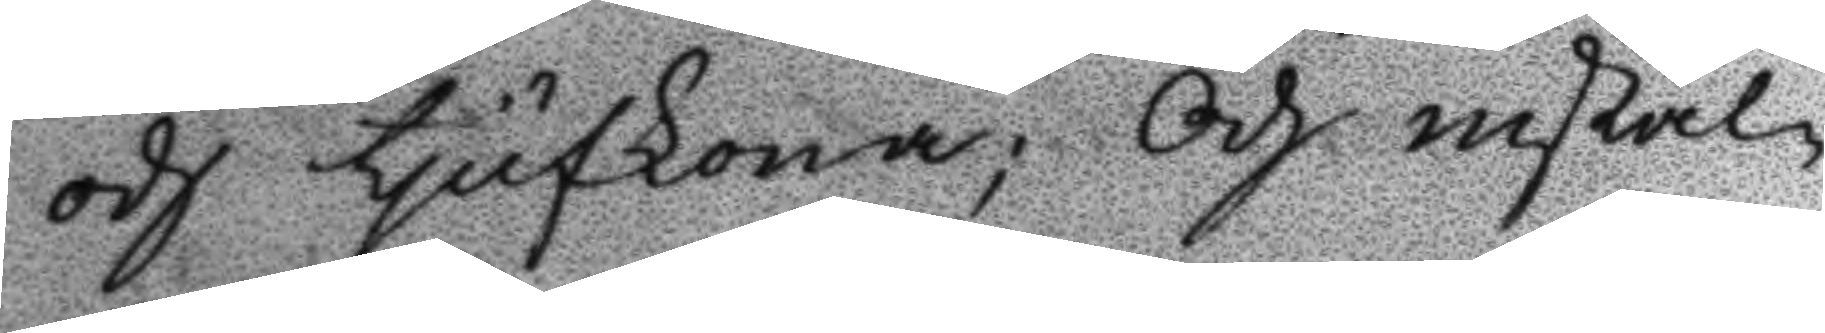och tjufkona; Och instäl¬
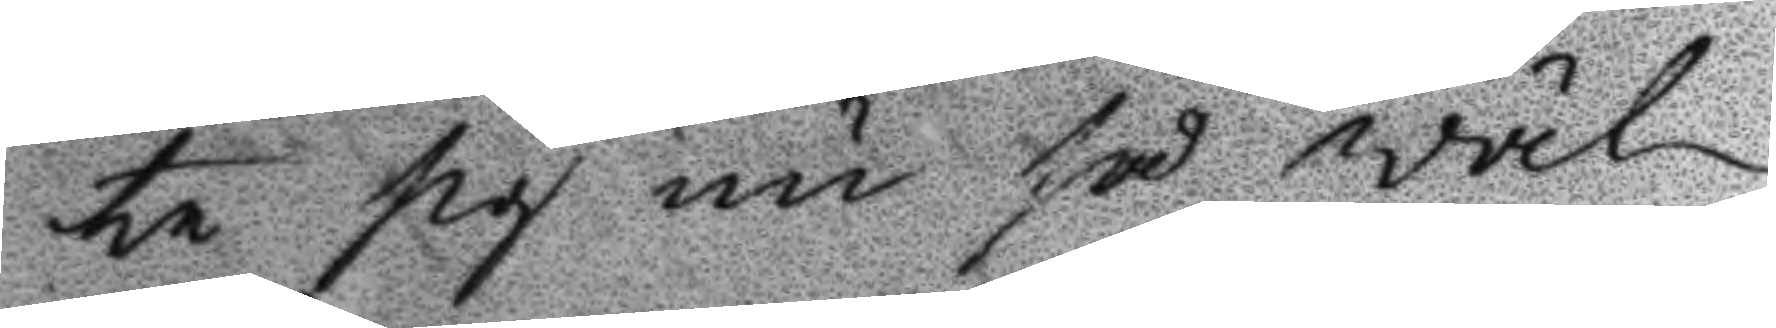te sig nu så wäl
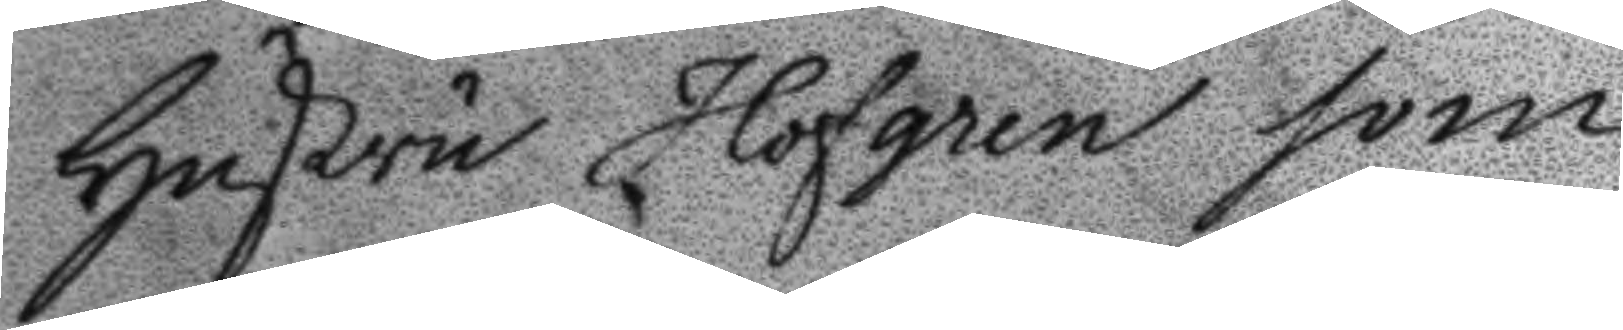Hustru Hofgren som
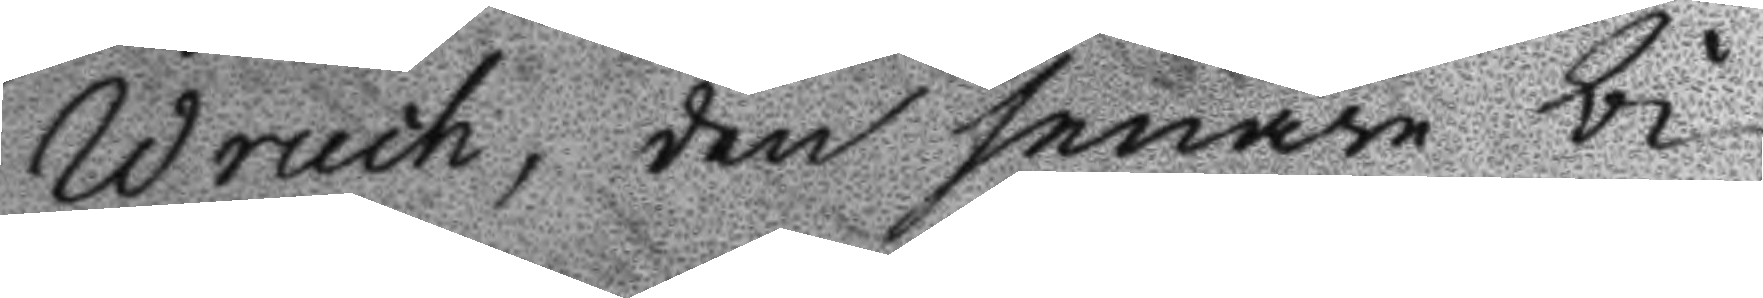Wruch, den senare bi¬
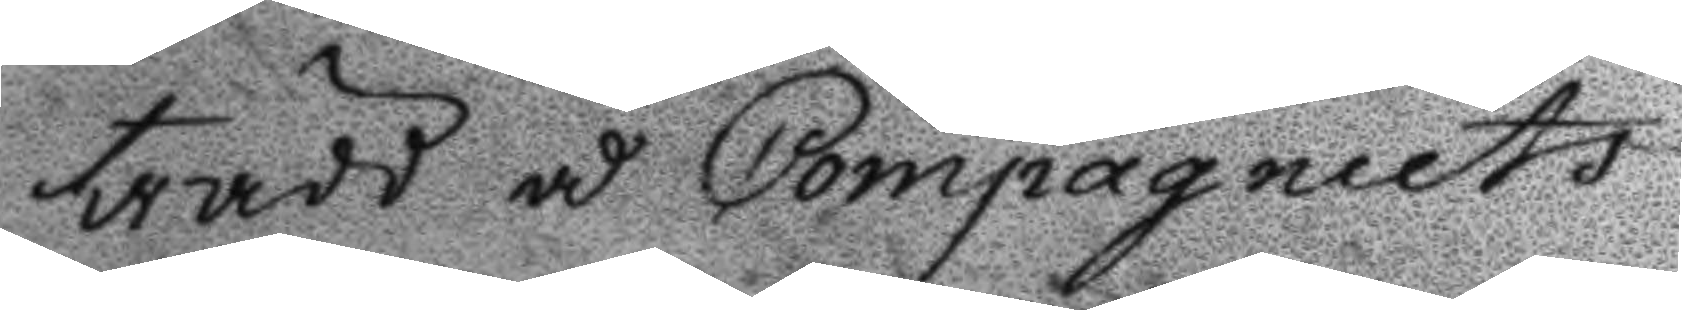trädd å Compagniets
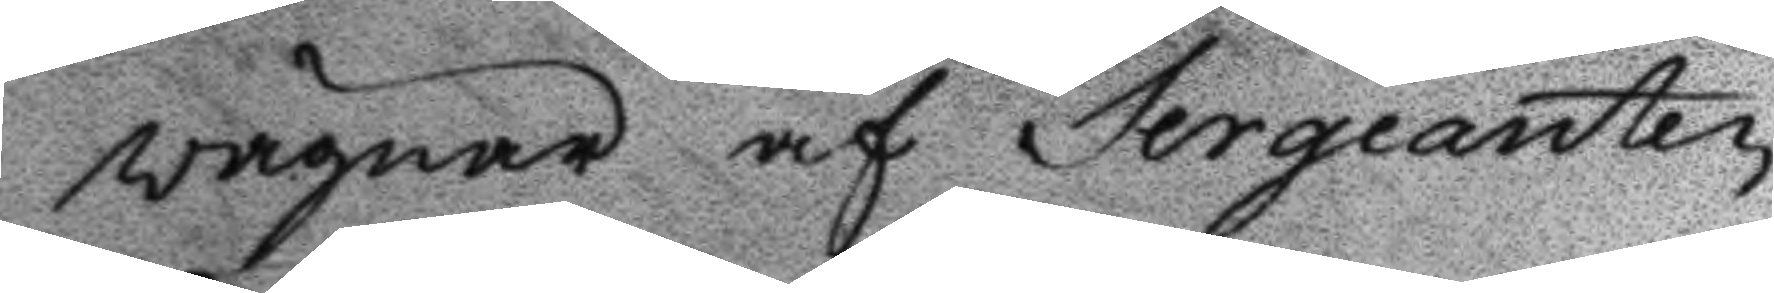vägnar af Sergeanten
